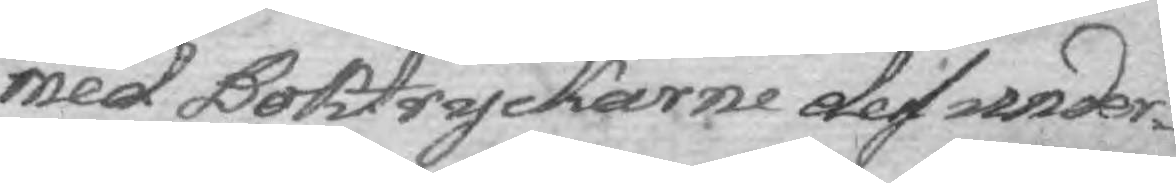med Boktryckarne dess under¬
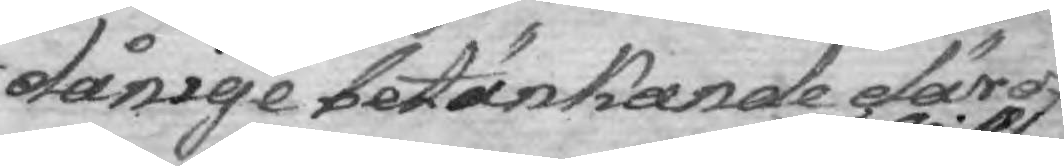dånige betänkande däröf¬
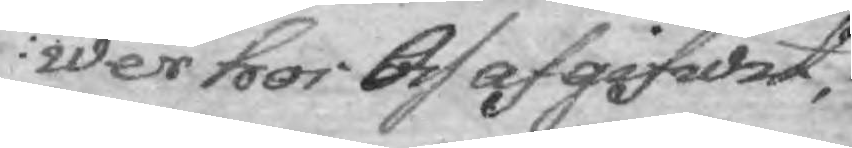wer hos Oss afgifwit, 
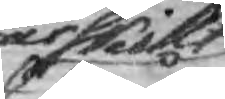särskillt
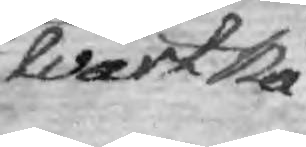Wårt Nå¬
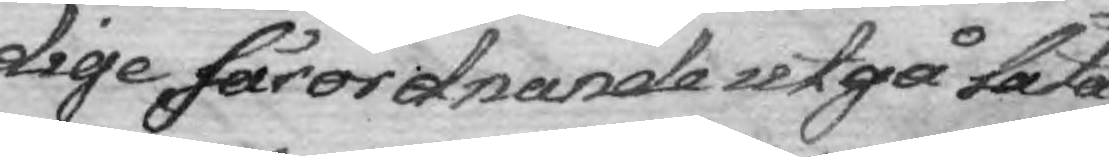dige fårordnande utgå låta
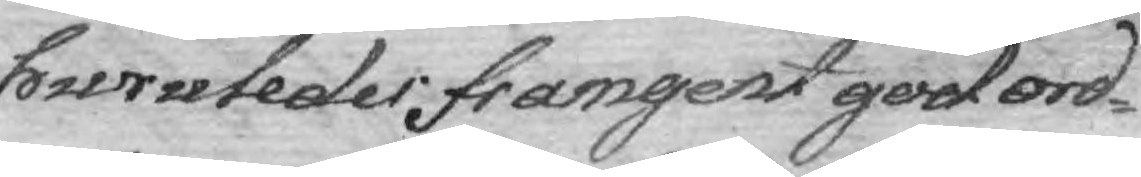huruledes framgent god ordn¬
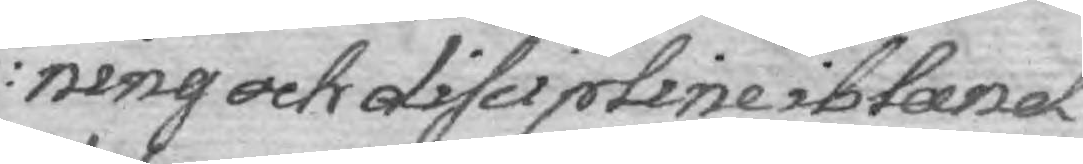ing och discipline ibland
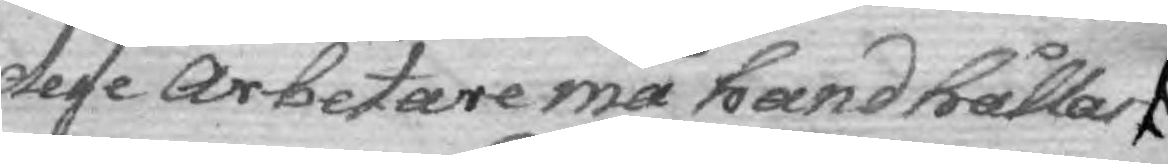desse Arbetare må handhållas
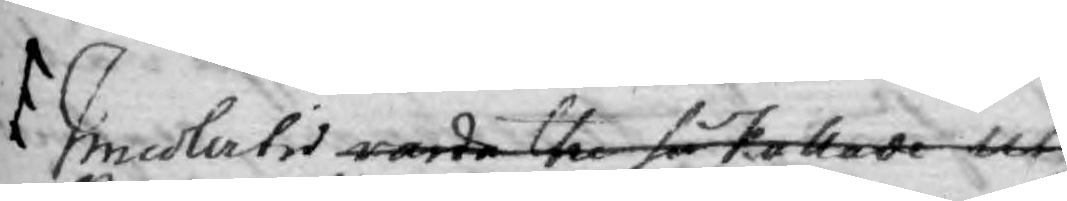Imedlertid warda the så kallade ut¬
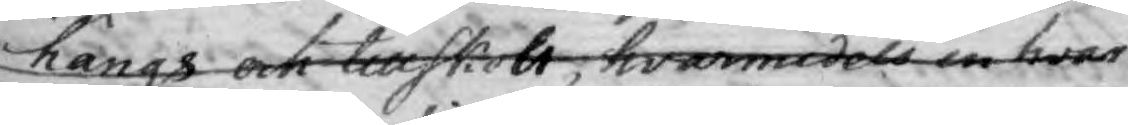hängs och tillskott, hwarmedels en hvar
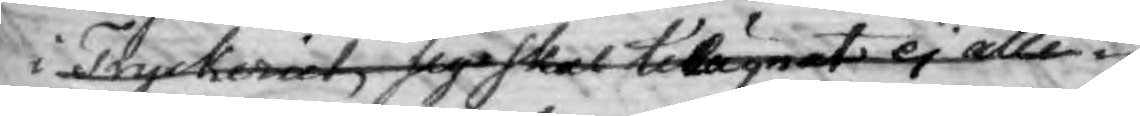i Tryckeriet, sig skall tillägnat ej alle¬
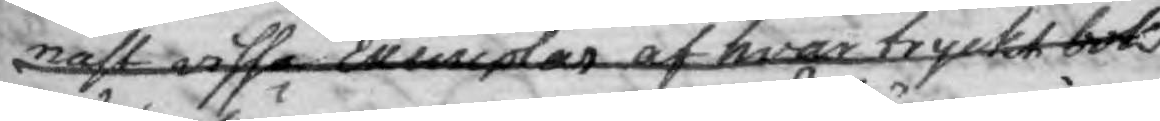nast vissa Exemplar af hvar tryckt bok
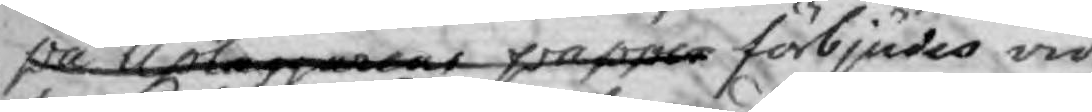på Upläggarenas papper förbjudes vid
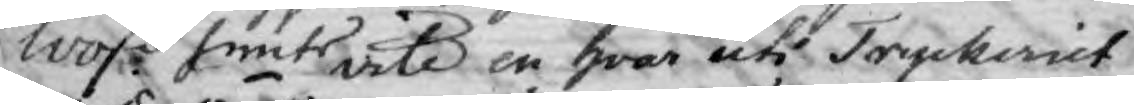100 dlr Smts vite en hwar uti Tryckeriet
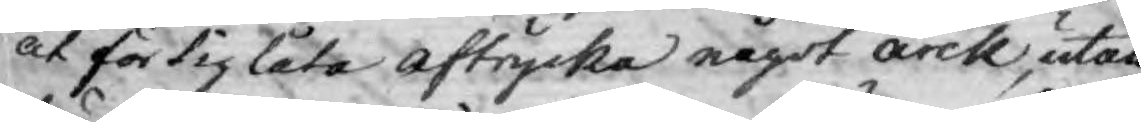at för dig låta aftrycka något arck, utan
